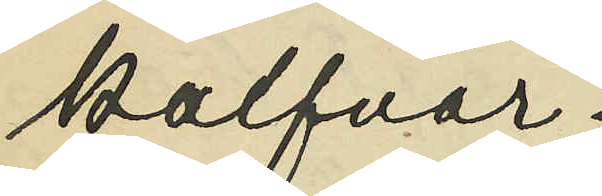kalfvar;
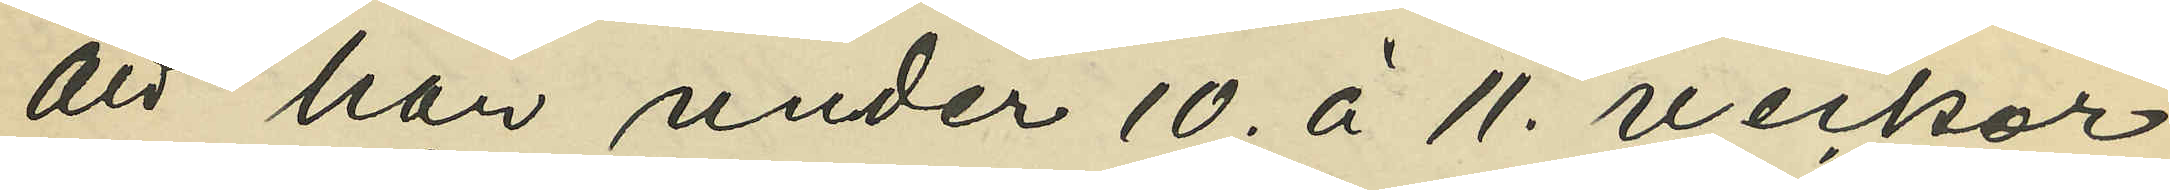att han under 10. à 11. veckor
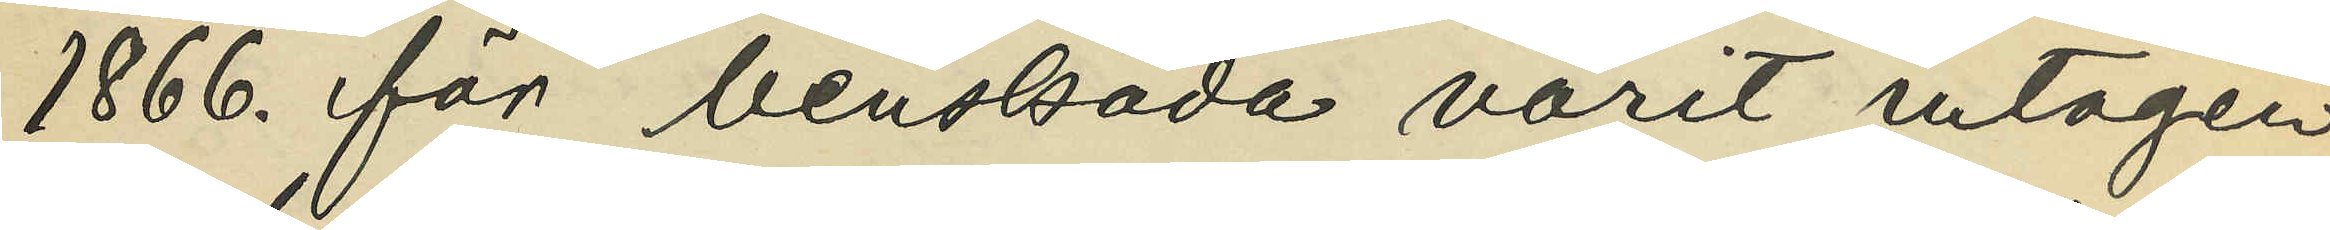1866. för benskada varit intagen
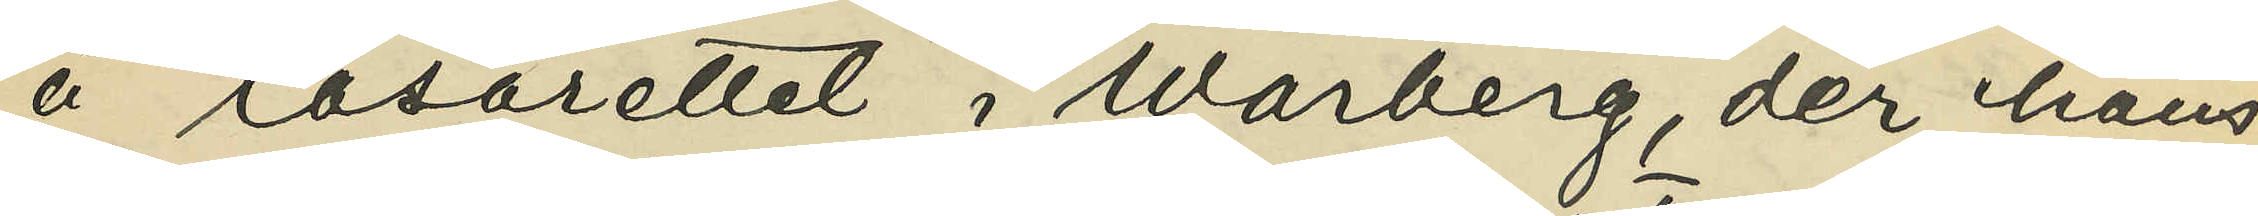å lasarettet i Warberg, der hans
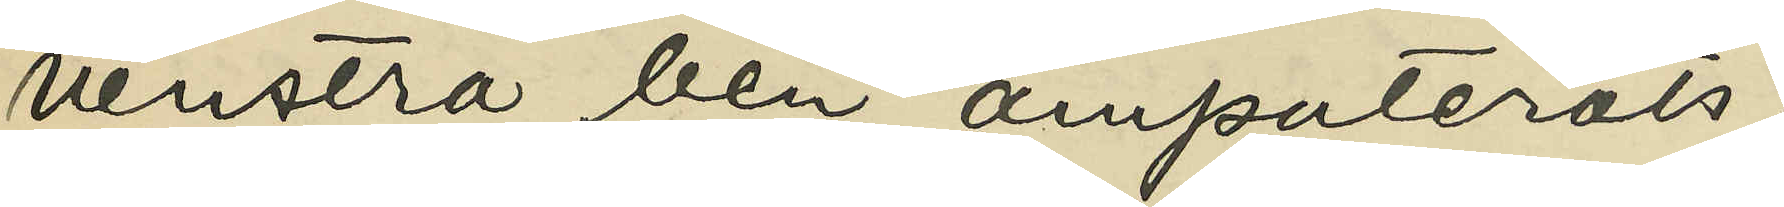venstra ben amputerats;
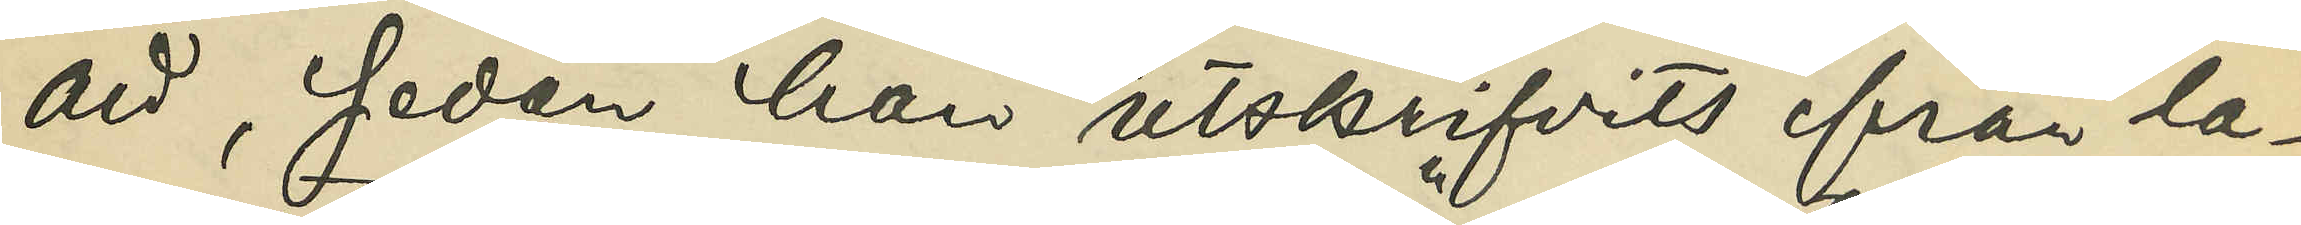att, sedan han utskrifvits från la¬
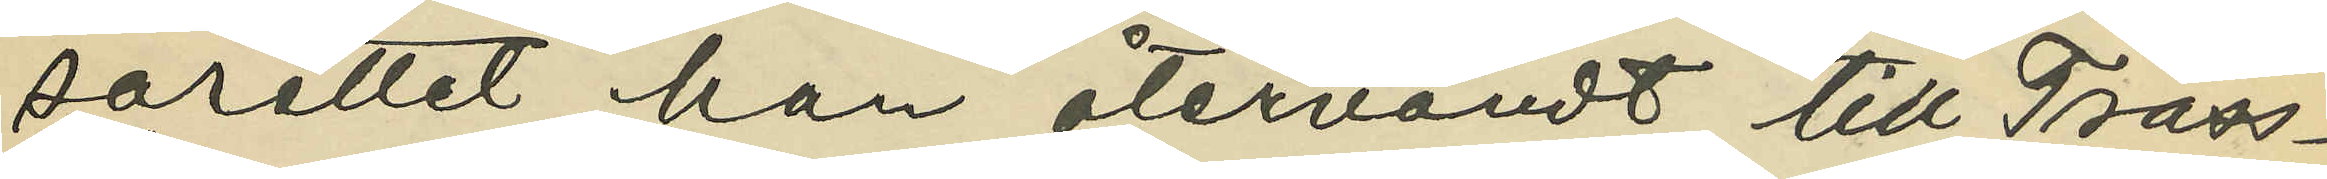sarettet, han återvändt till Träss¬
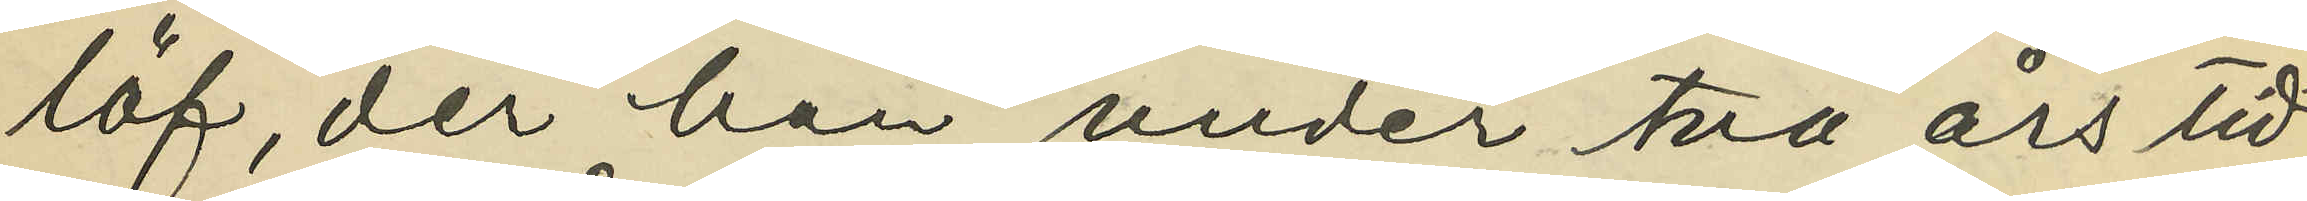löf, der han under två års tid
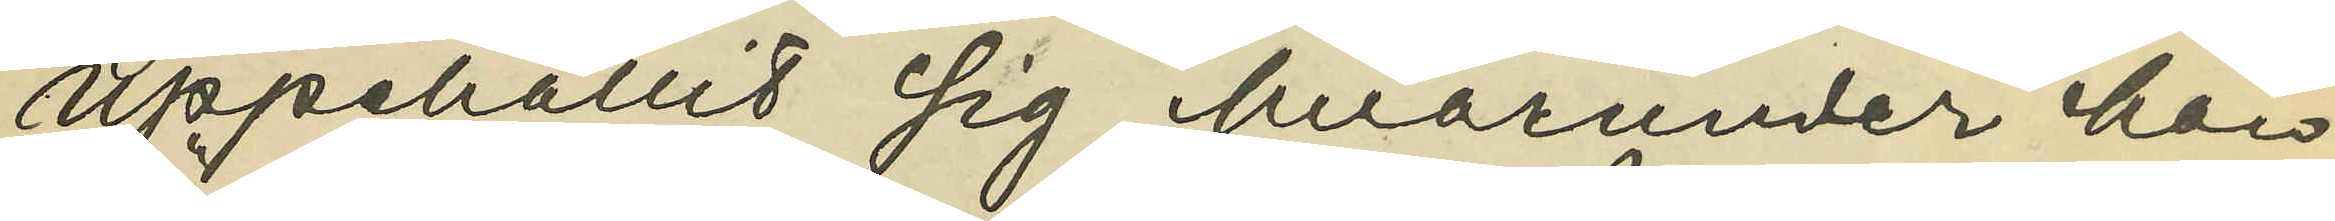uppehållit sig, hvarunder han
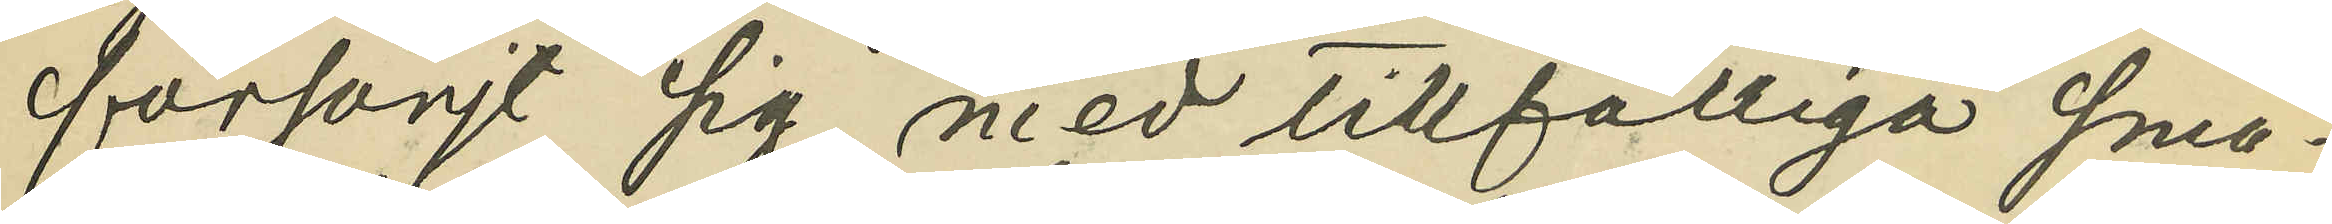försörjt sig med tillfälliga små¬
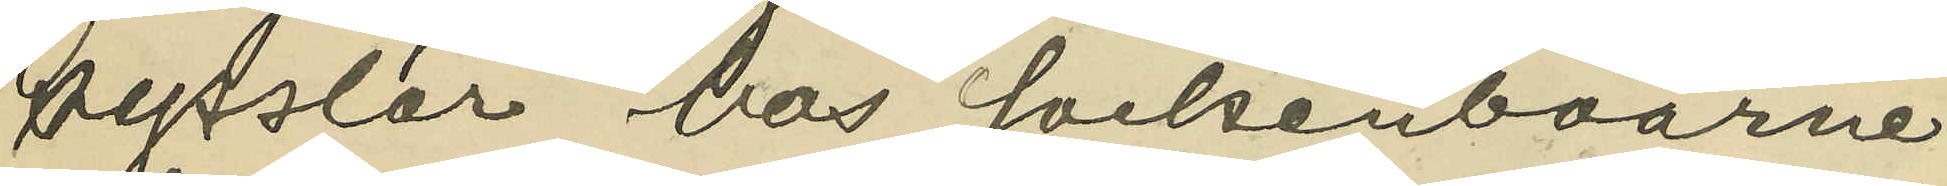sysslor hos sockenboarne;
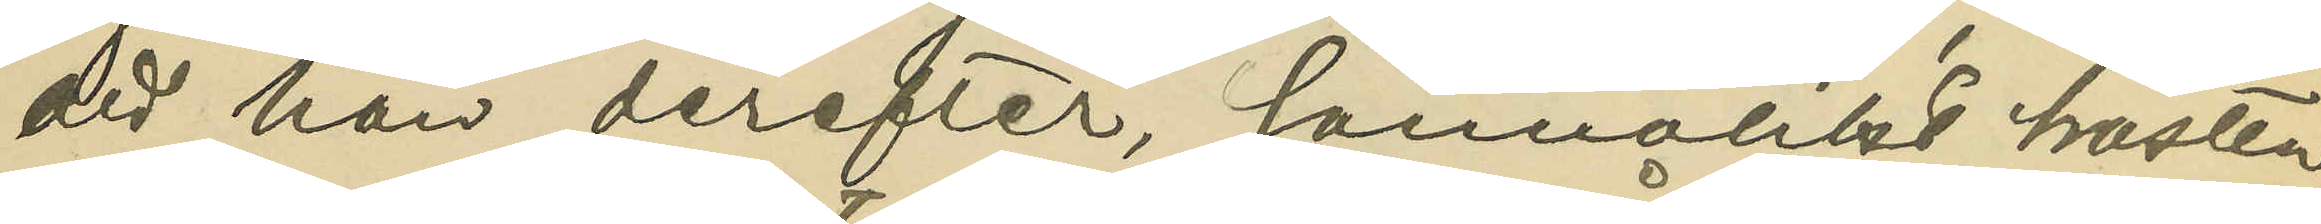att han derefter, sannolikt hösten
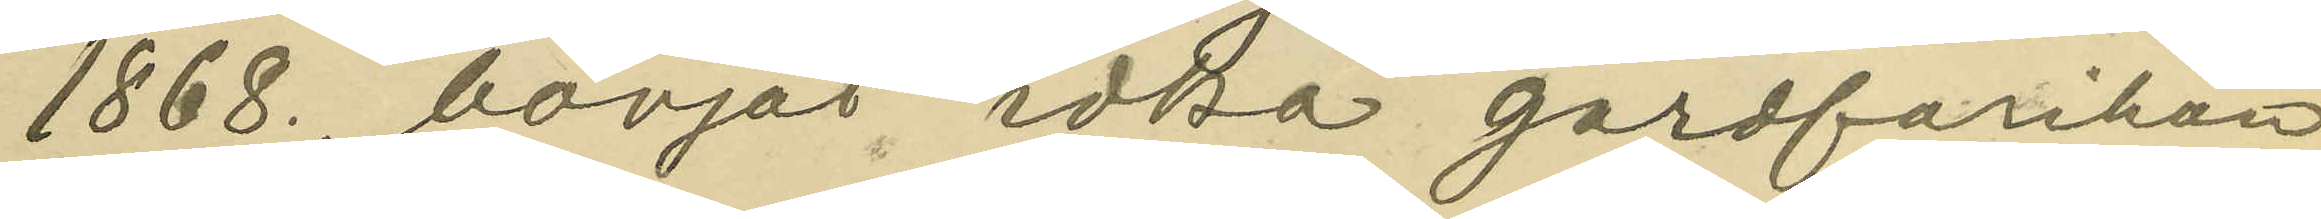1868., börjat idka gårdfarihan¬
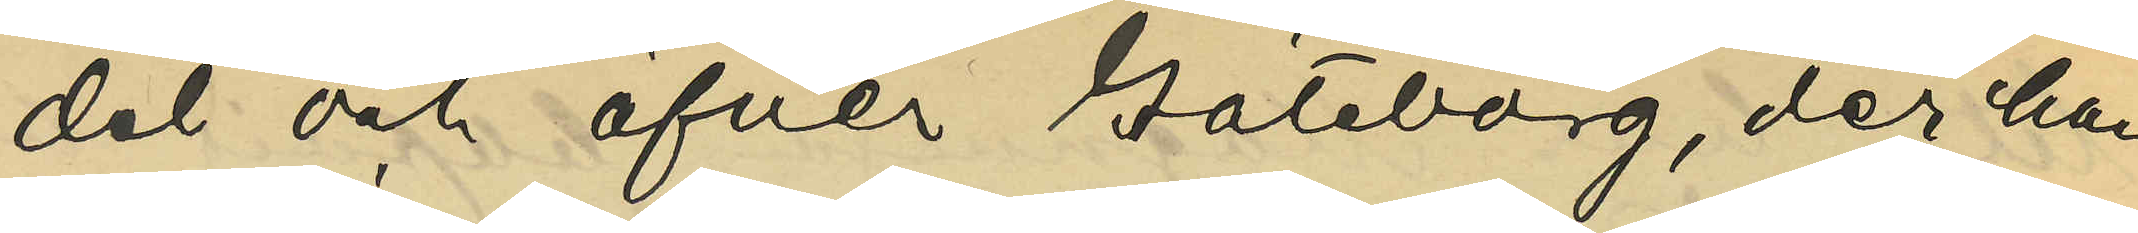del och öfver Göteborg, der han
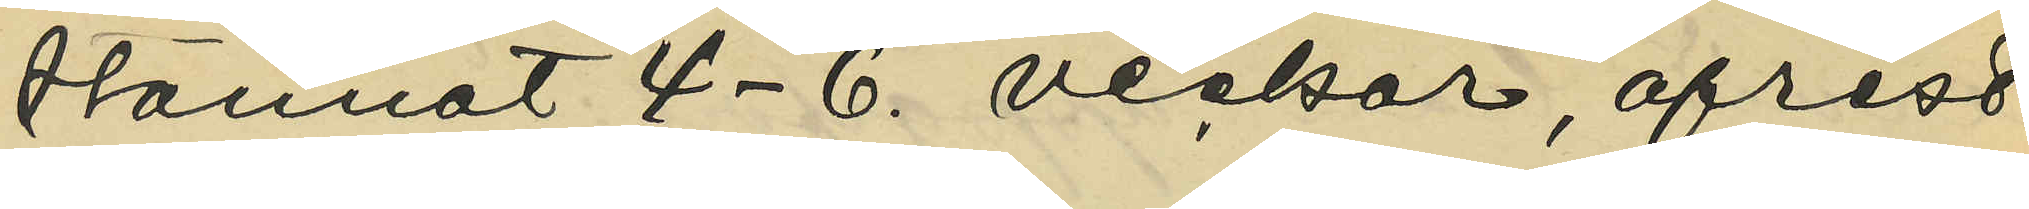stannat 4-6 veckor, afrest
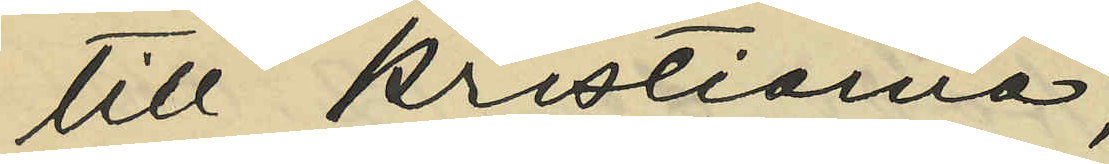till Kristiania;
